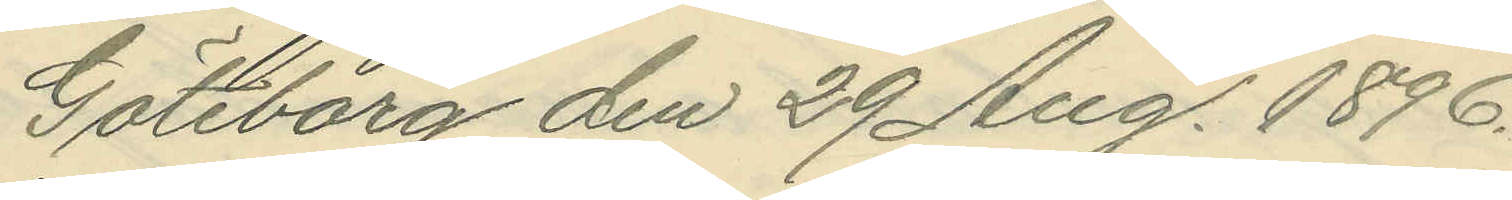Göteborg den 29 Aug. 1896.
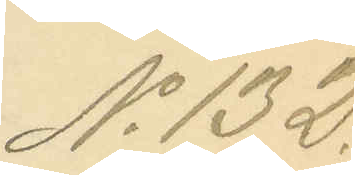No 132.
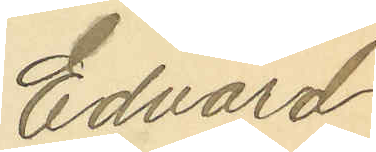Edvard
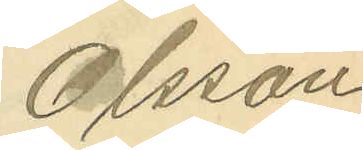Olsson
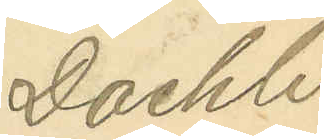Daehli
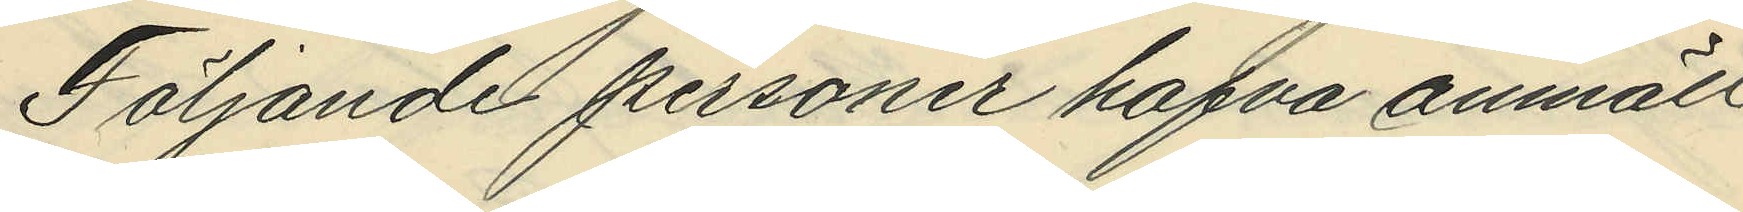Följande personer hafva anmält
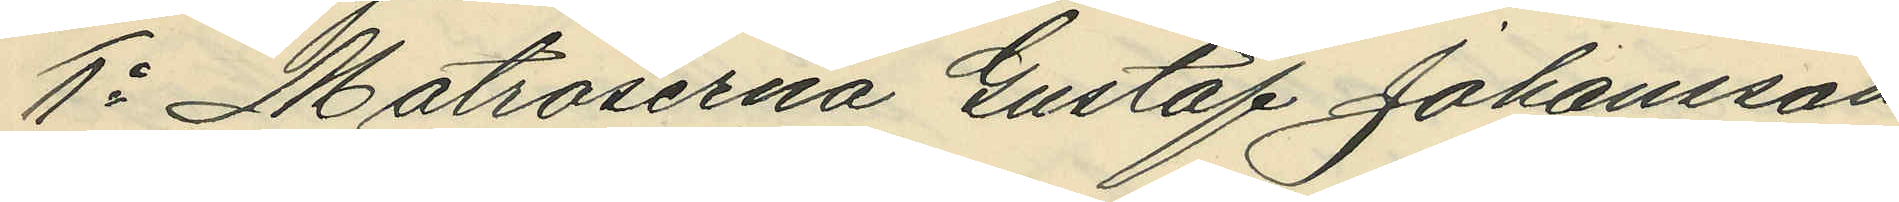1o Matroserna Gustaf Johansson
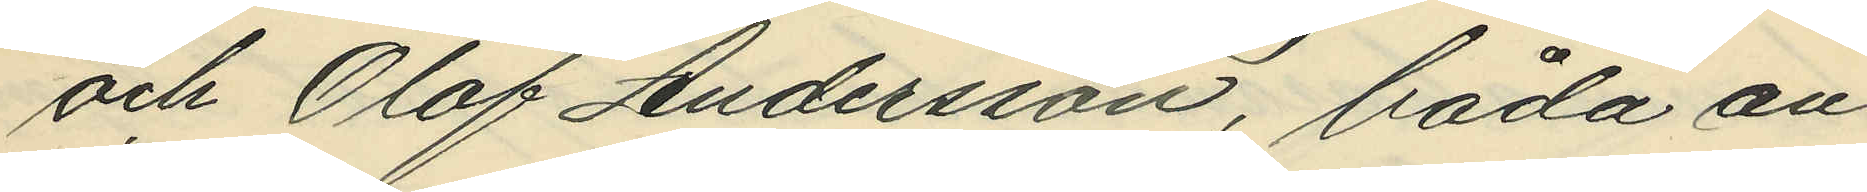och Olof Andersson, båda an¬
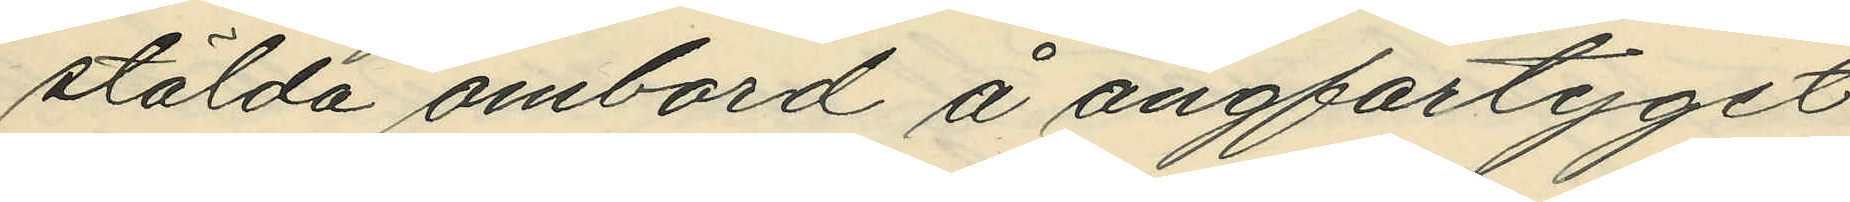stälda ombord å ångfartyget
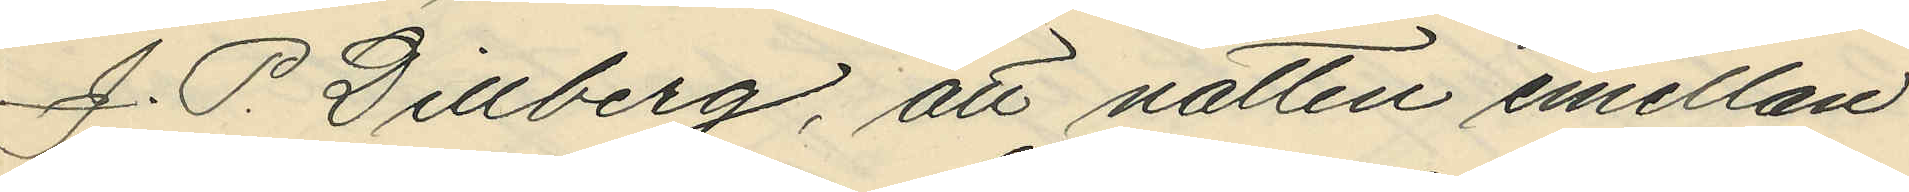J. P. Dillberg, att natten emellan
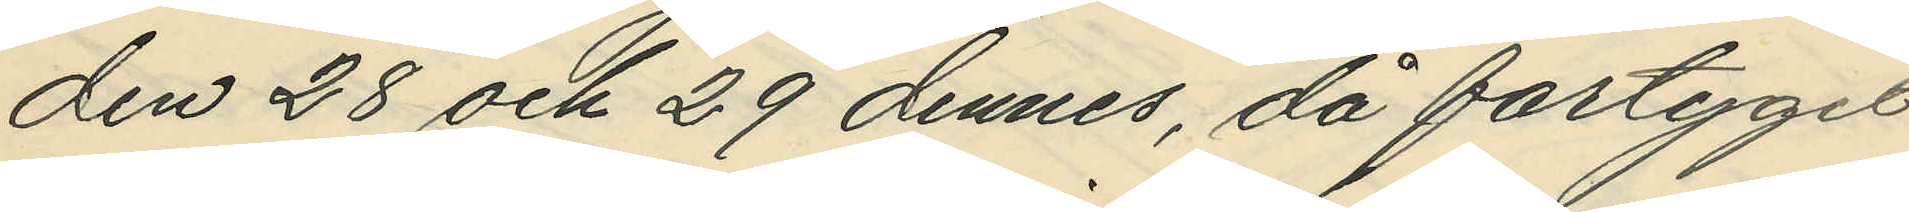den 28 och 29 dennes, då fartyget
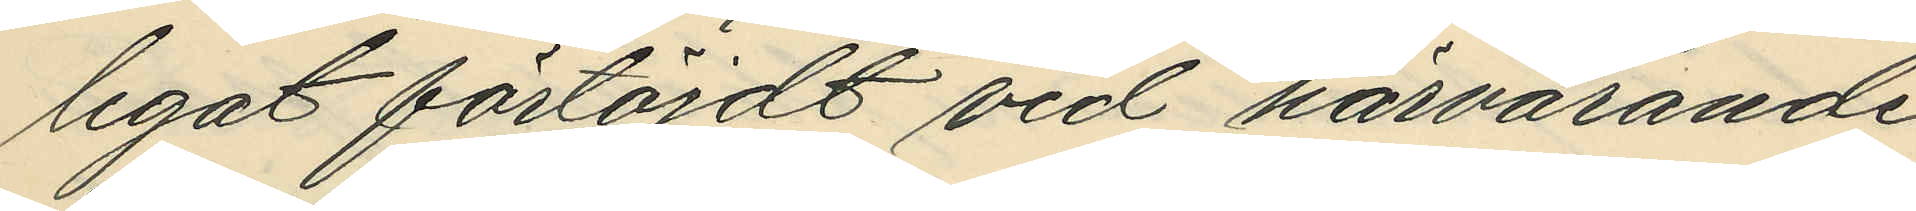legat förtöjdt vid härvarande
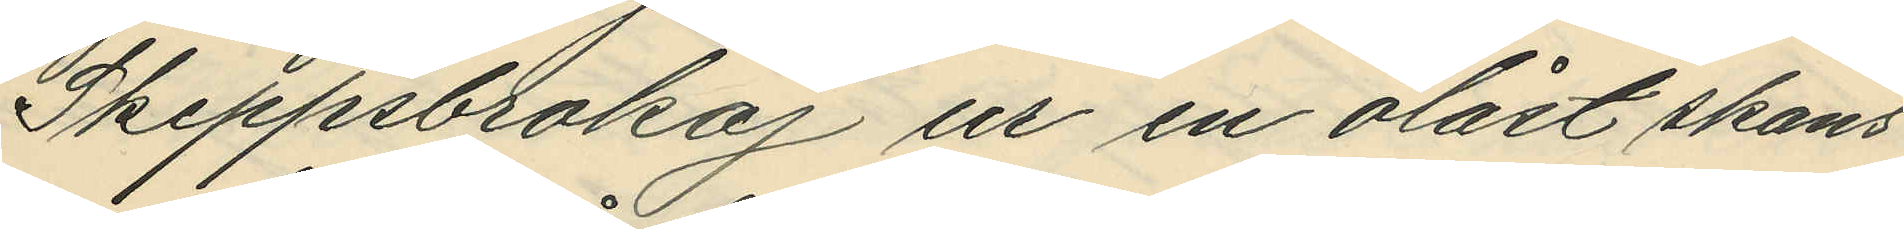Skeppsbrokaj ur en olåst skans
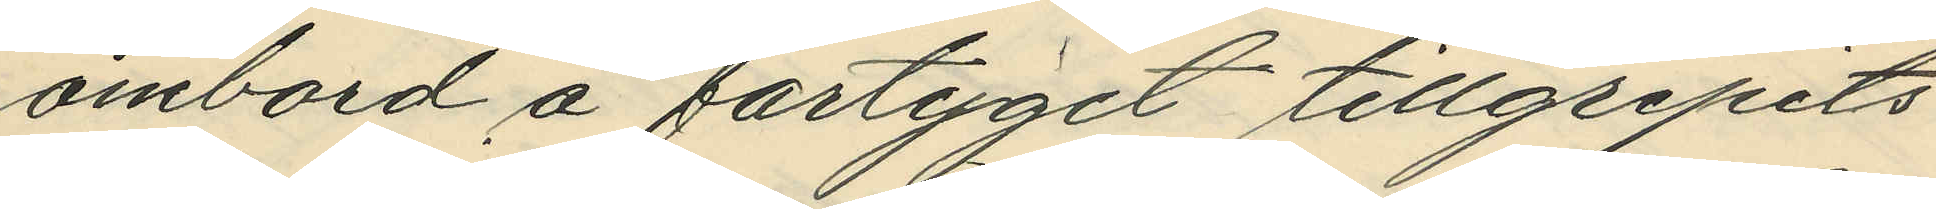ombord å fartyget tillgripits
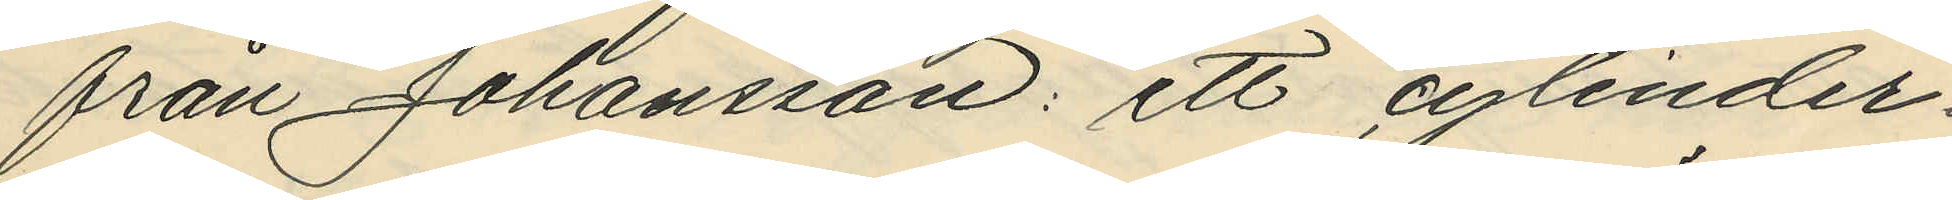från Johansson: ett cylinder¬
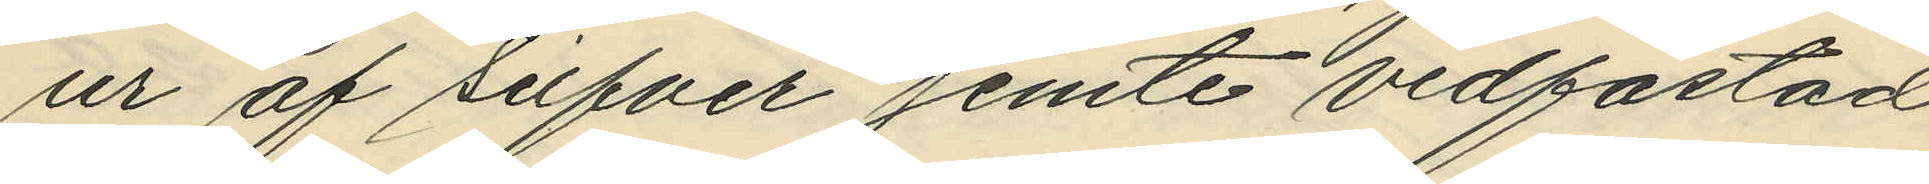ur af silfver jemte vidfästad
